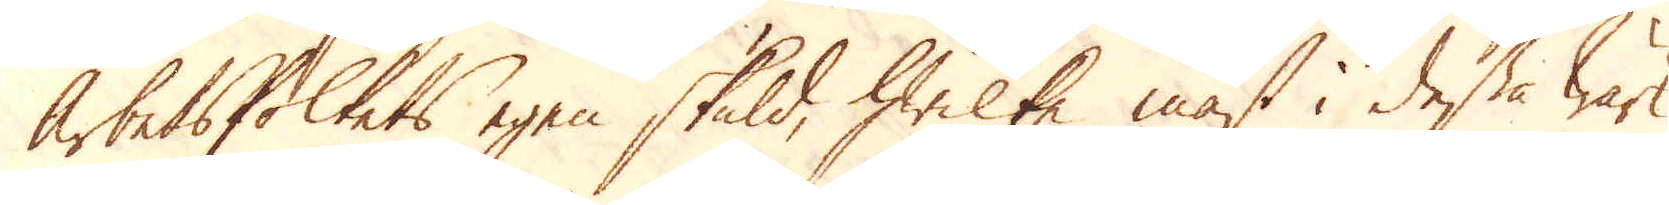Arbetsfolkets egen skuld, hwilke mäst i dessa Wärk
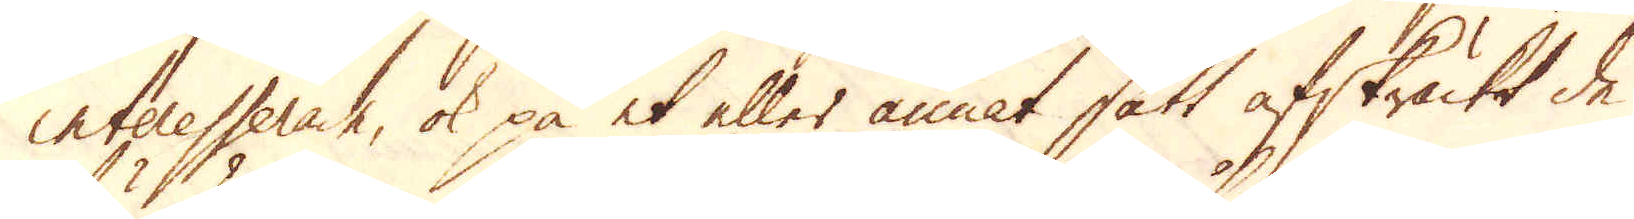interesserade, ok på et eller annat sätt afskräckt de
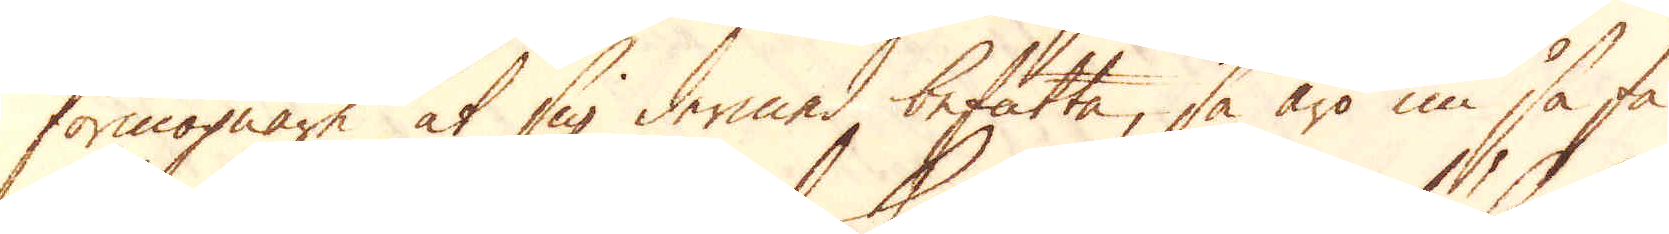förmögnare at sig dermed befatta, så äro nu så få
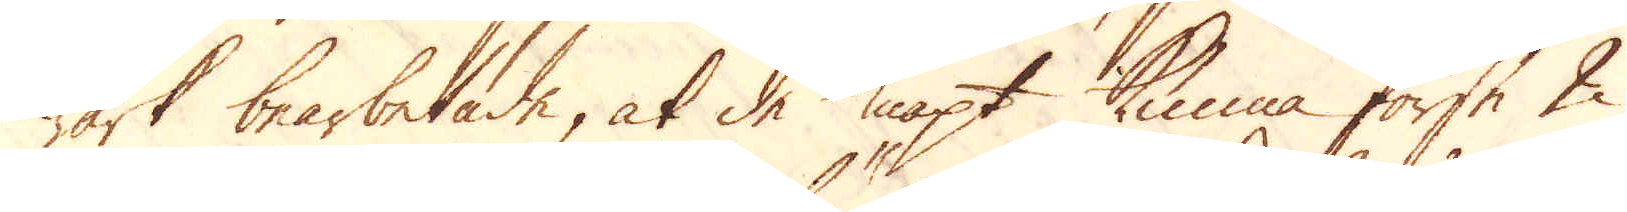wärk bearbetade, at de knapt kunna förse 2
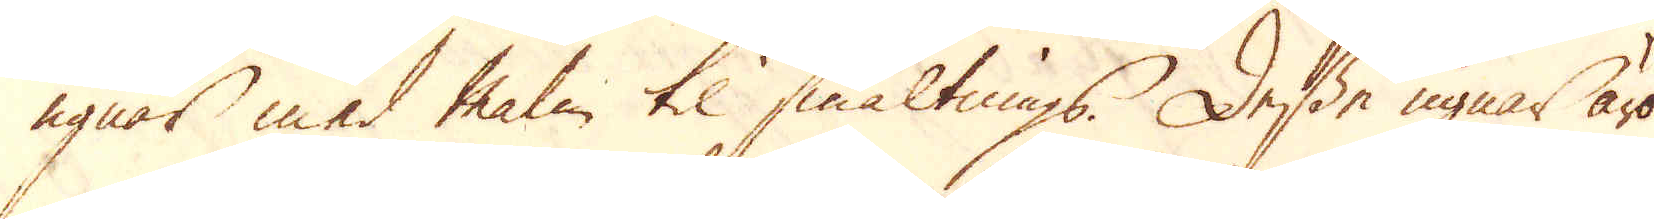ugnar med malm til smältnings. Desse ugnar äro
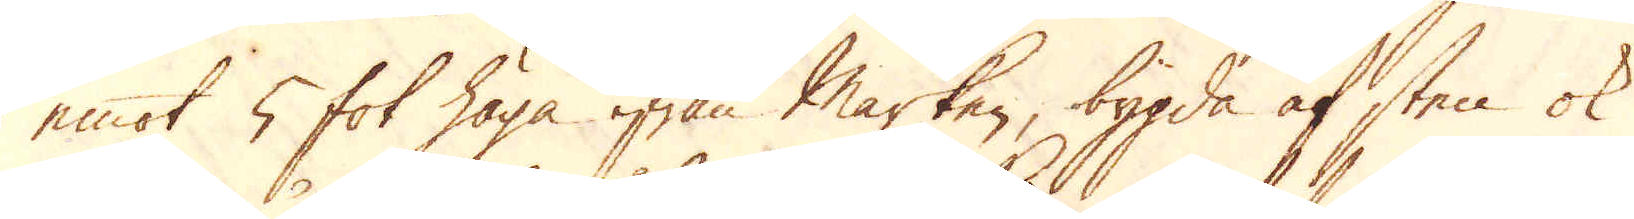emot 5 fot höga ifrån marken, bygda af sten ok
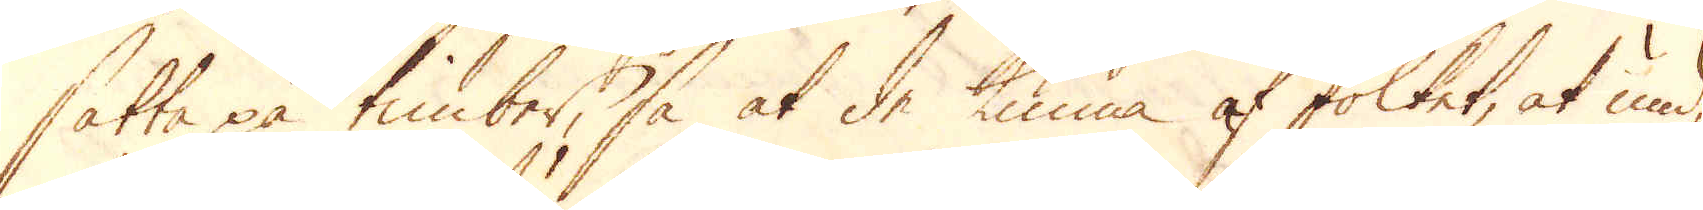satta på timber, så at de kunna af folket, at und-
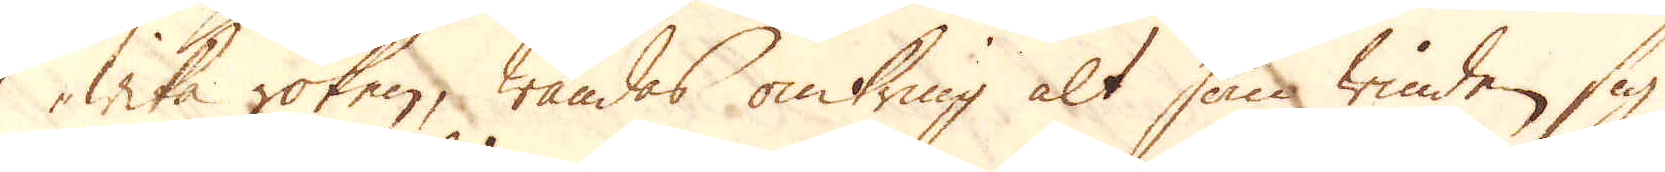wika röken, wändas omkring alt som winden sig
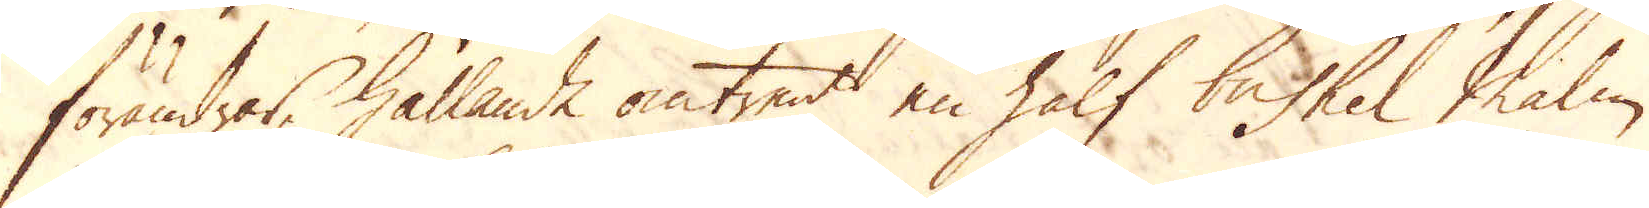förändrar, hållande omtrent en half bushel Malm,
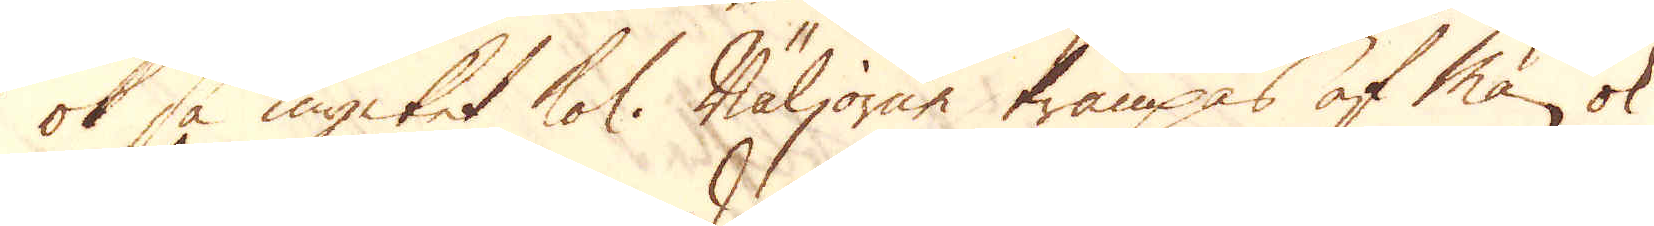ok så mycket kol. Bäljorne trampass af Män ok
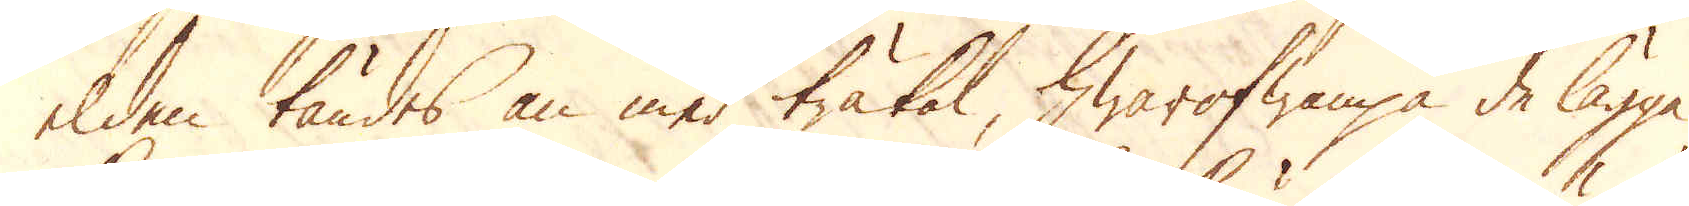elden tändes an med träkol, hwarofwanpå de lägga
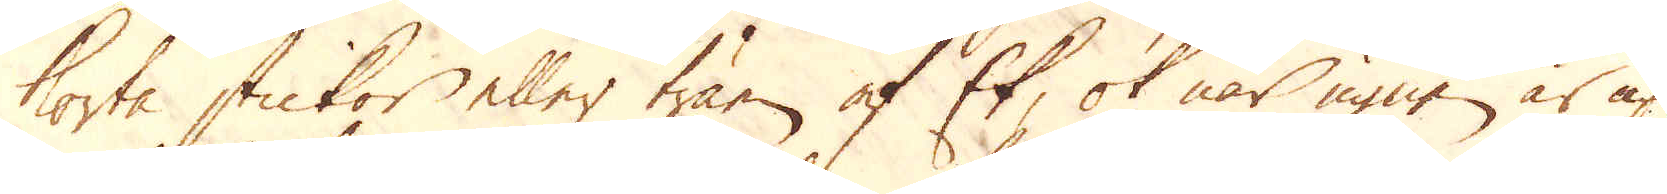korta stickor eller träen af Ek, ok när ugnen är up-
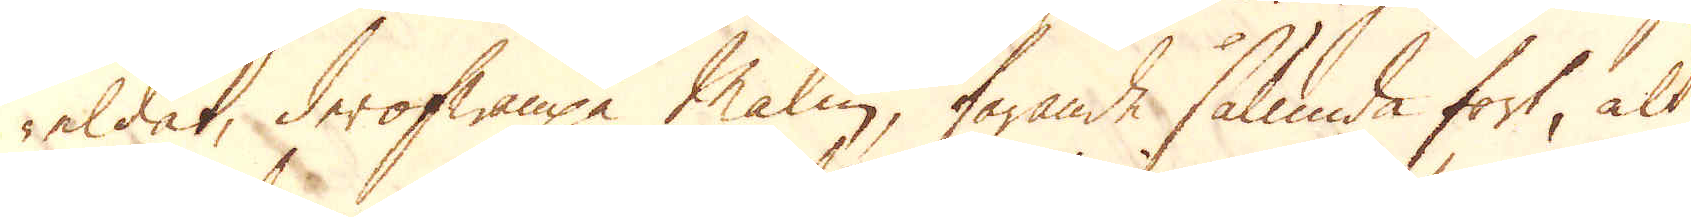eldet, derofwanpå Malm, farande sålunda fort, alt
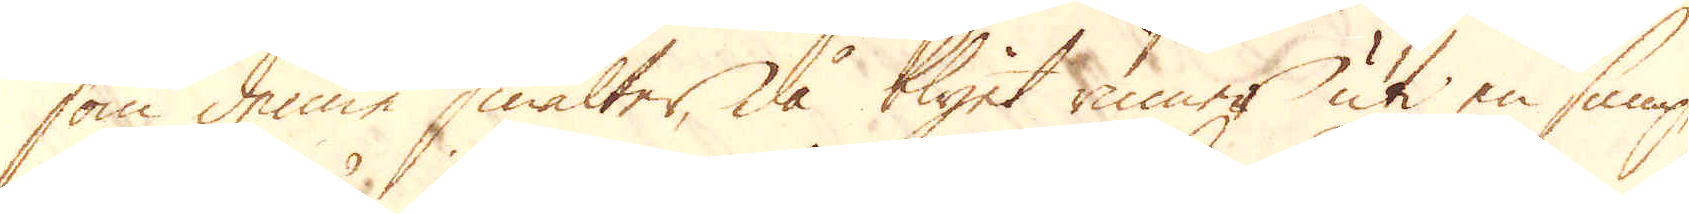som denne smälter, då blyet rinner uti en sump,
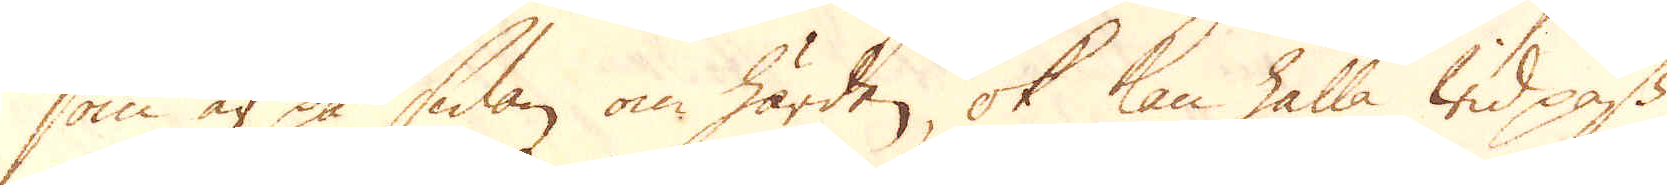som är på sidan om härden, ok kan hålla wid pass
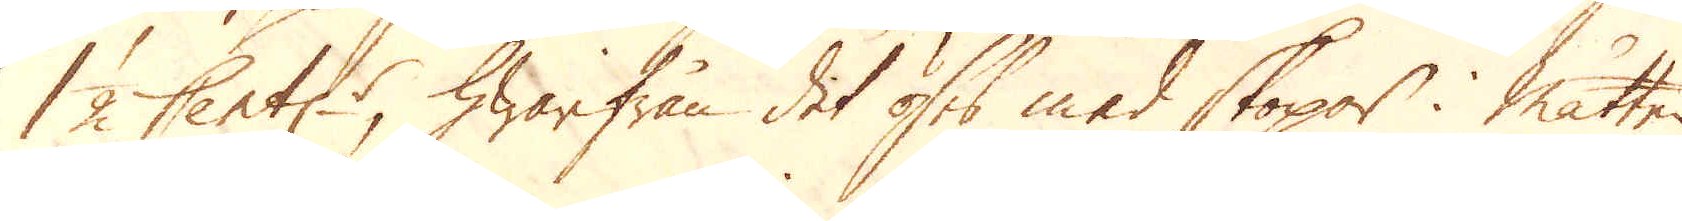1 1/2 Cent:r, hwarifrån det öses med skopor i måtten.
